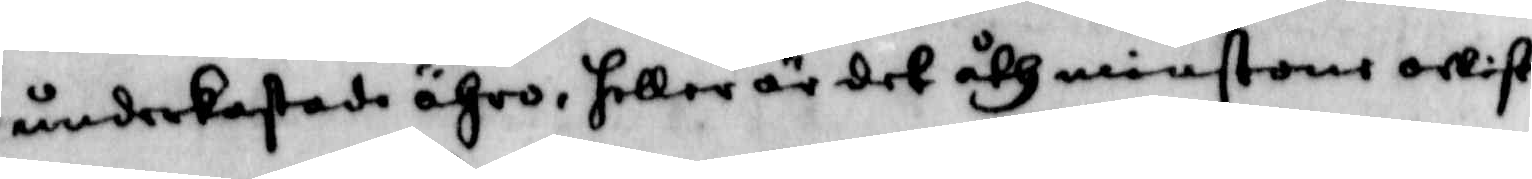underkastade ähro, heller är det åthminstone owist
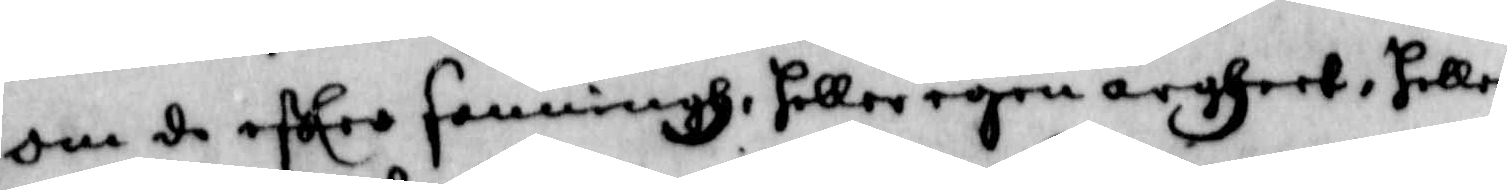om de efter sanning, heller egen argheet, heller
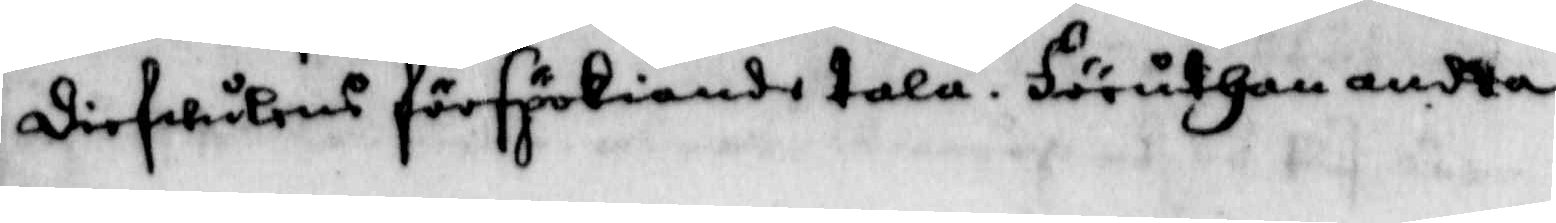diefwulens förspökiande tala. Föruthan andta
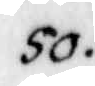50.
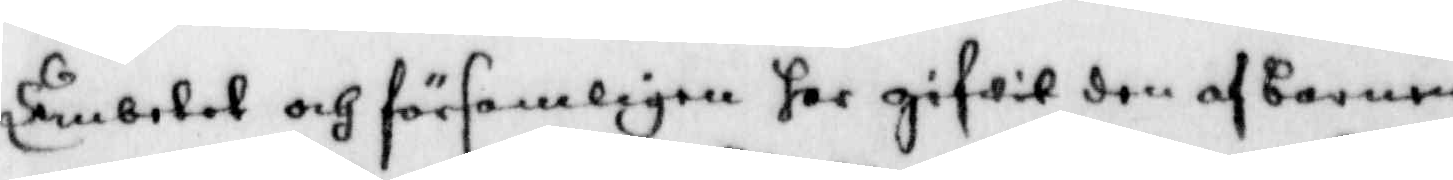Embetet och församligen har gifwit den af barnen
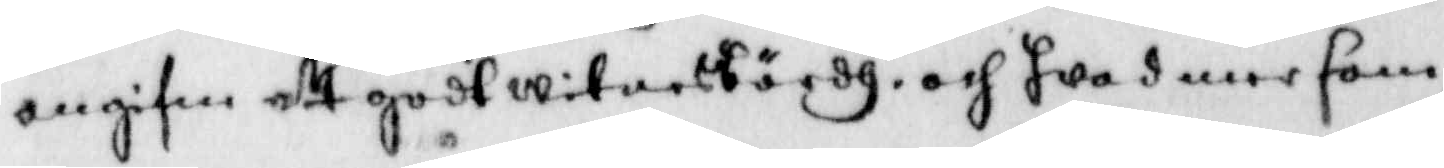angifne ett godt witnesbördh, och hwa denne som
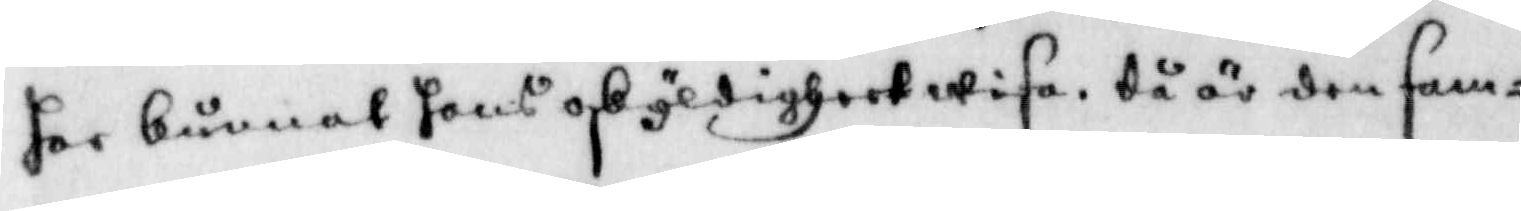har kunnat hans oskyldigheet wisa, då är den sam¬
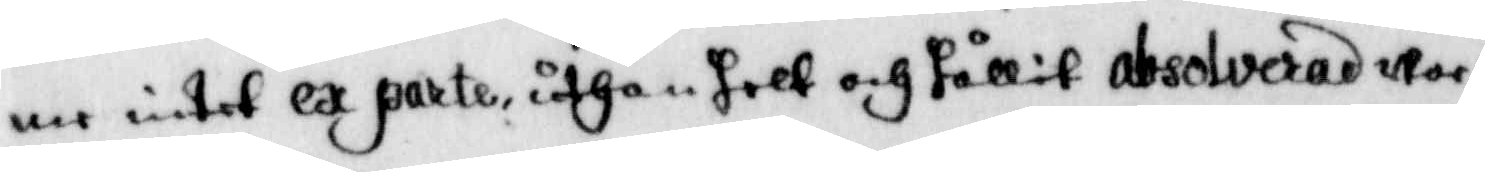me intet ex parte, uthan helt och hållit absolverad wor¬
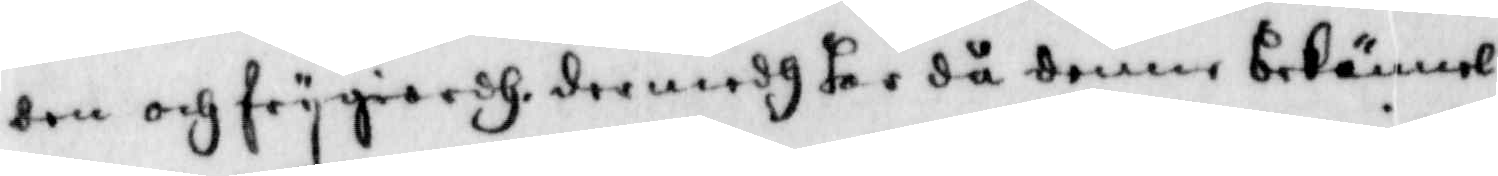den och frygiordh, dermedh har då denne bekännel¬
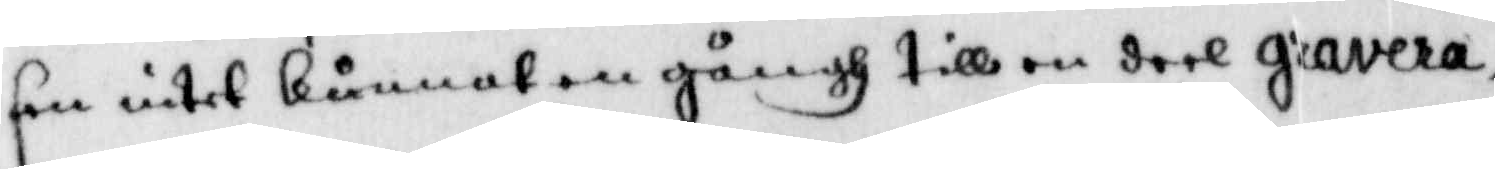sen intet kunnat en gångh till en deel gravera,
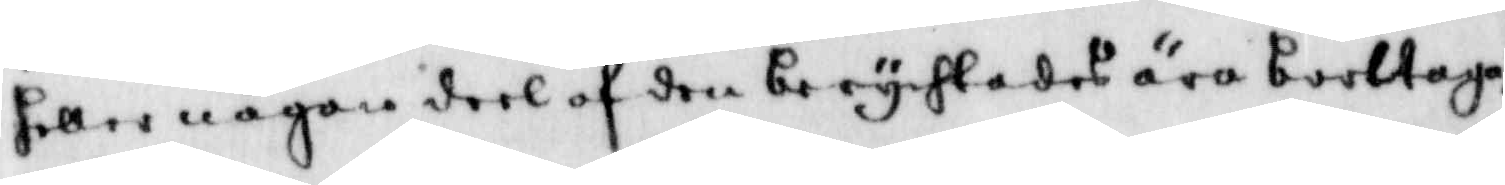heller någon deel af den berychtades ära borttaga,
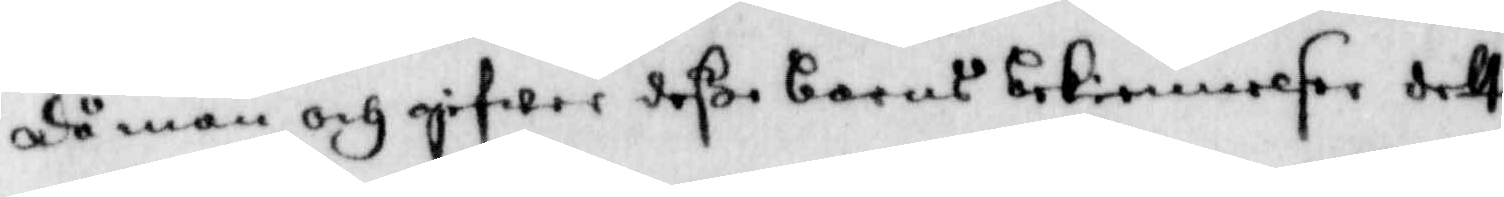då man och gifwer deße barns bekiennelser dett
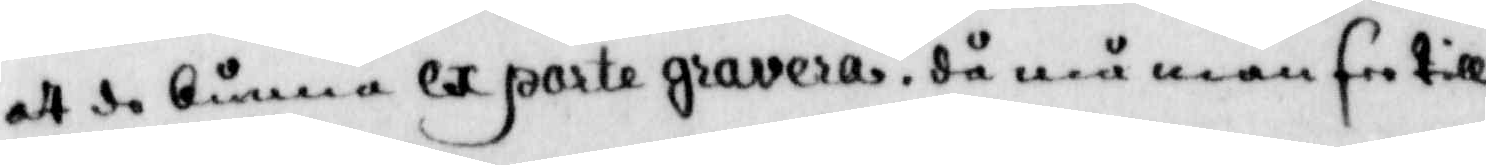att då kunna ex parte gravera, då må man see till
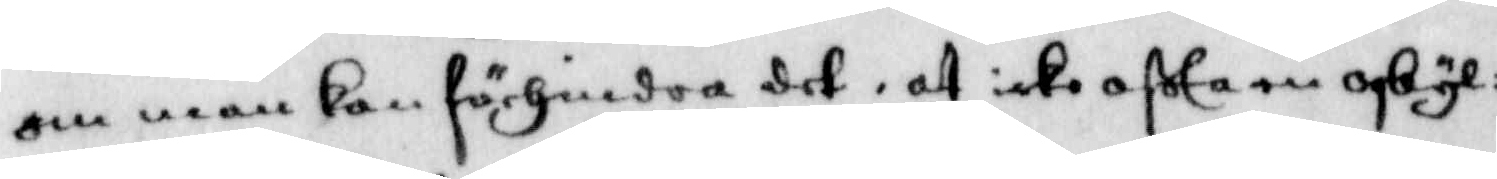om man kan förhindra det, at icke ofta en oskyl¬
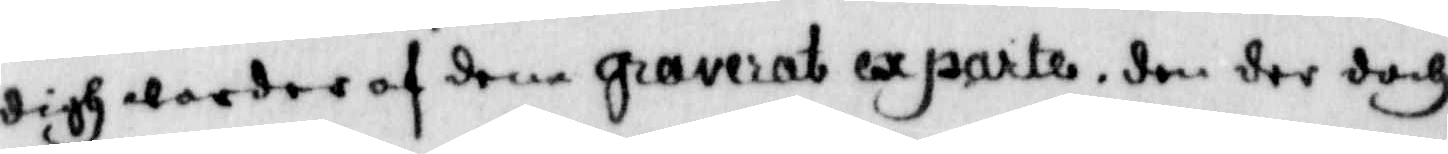digh warder af dem graverat ex parte, den der doch
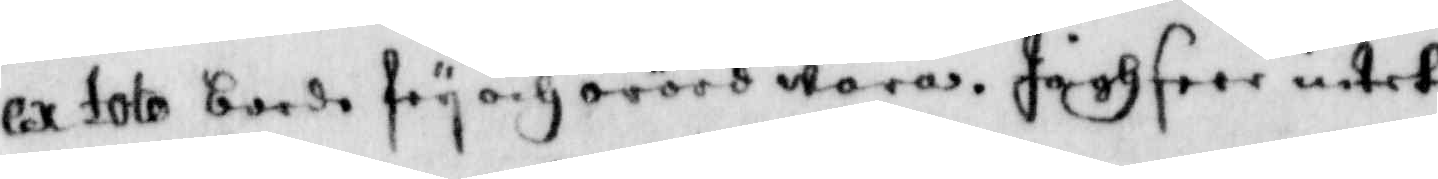ex toto borde fry och orörd wara. Jagh seer intet
